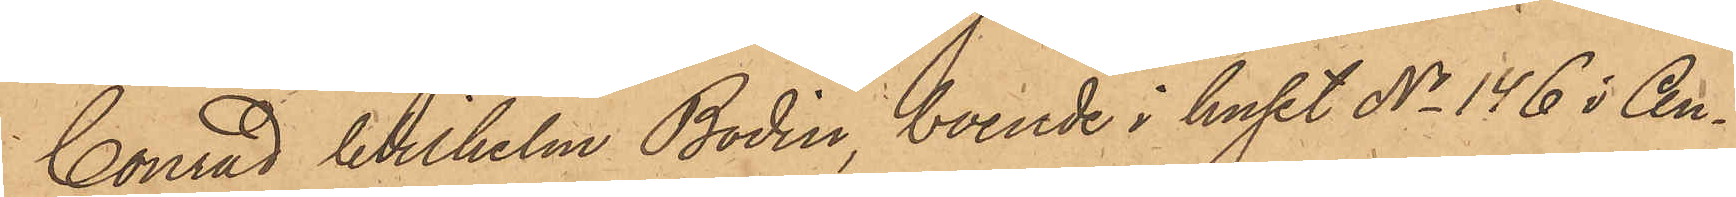Conrad Wilhelm Bodin, boende i huset No 146 i An¬
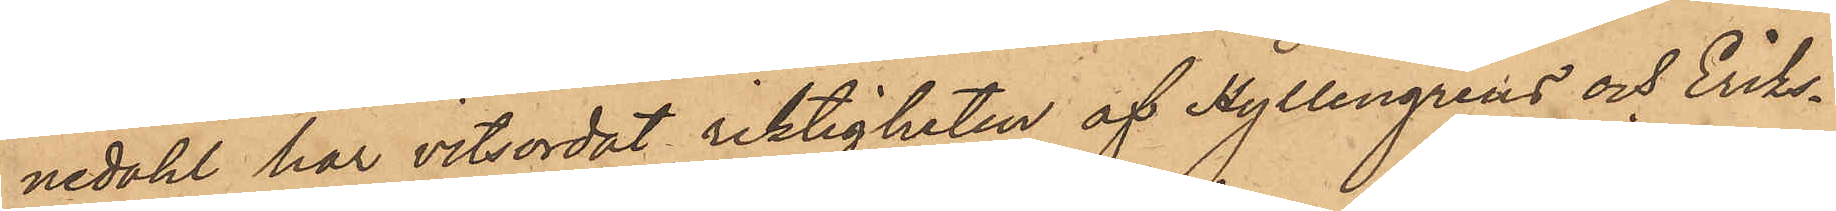nedahl har vitsordat riktigheten af Hyllengrens och Eriks¬
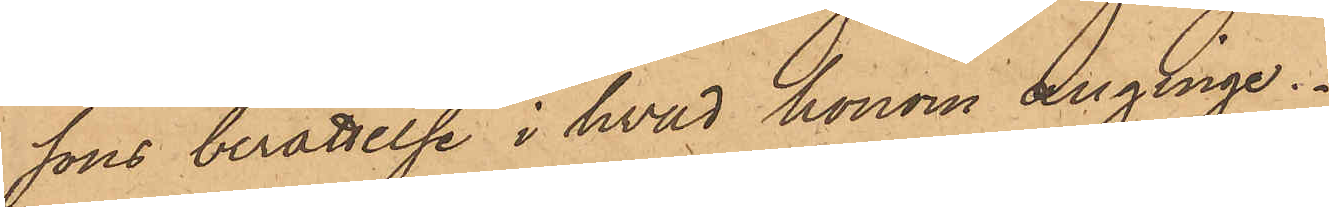sons berättelse i hvad honom anginge.
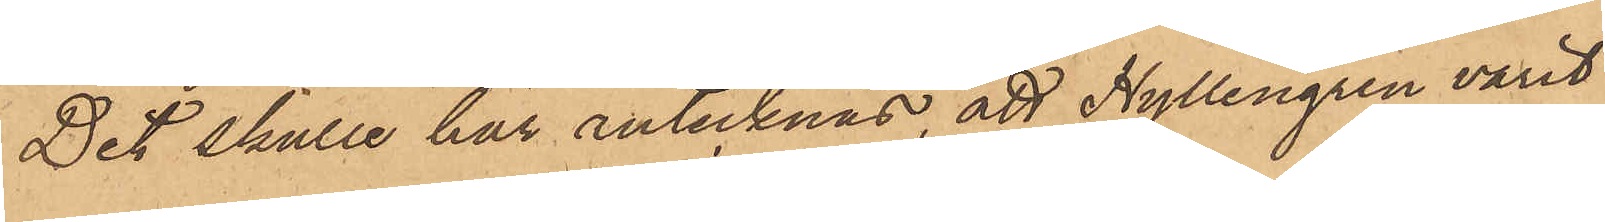Det skulle här antecknas, att Hyllengren varit
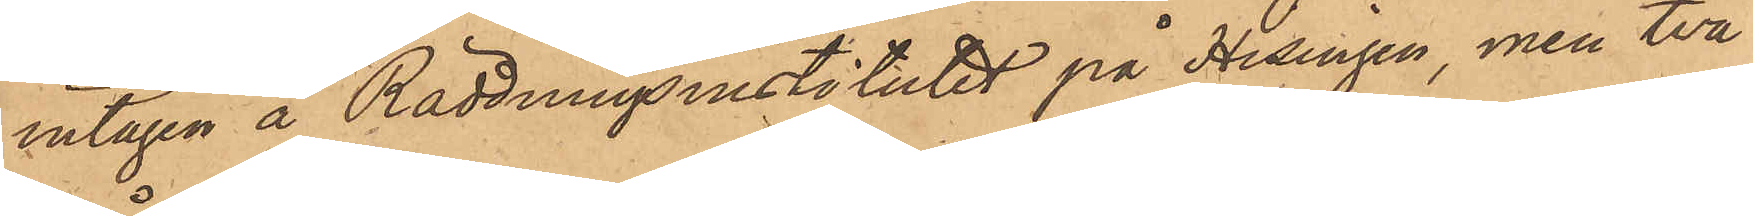intagen å Räddningsinstitutet på Hisingen, men två
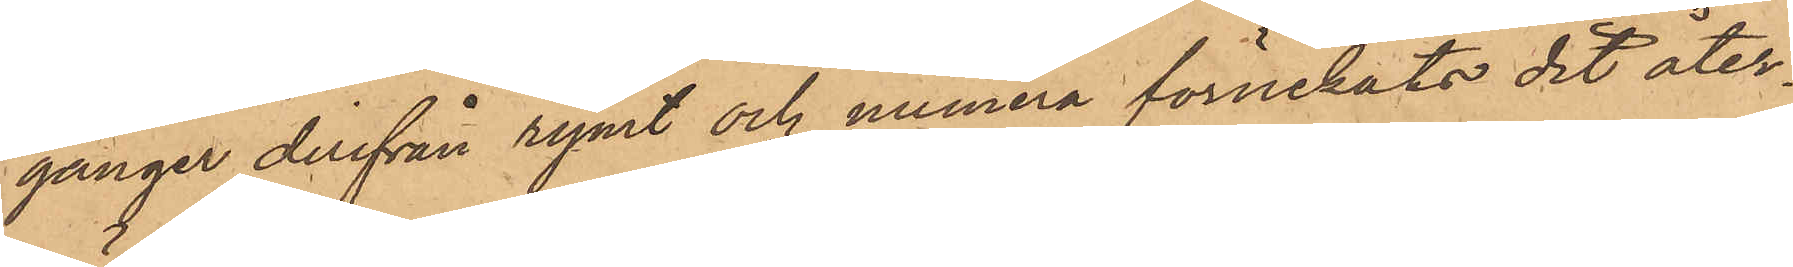gånger derifrån rymt och numera förnekats dit åter¬
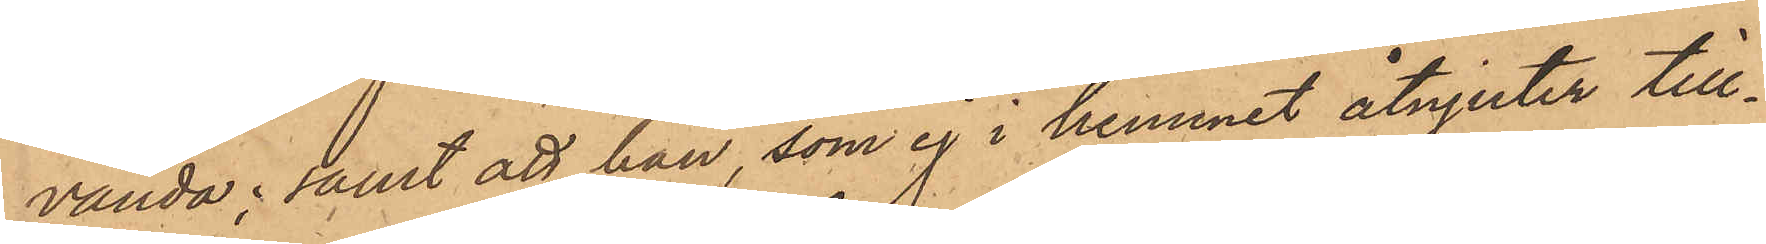vända; samt att han, som ej i hemmet åtnjuter till¬
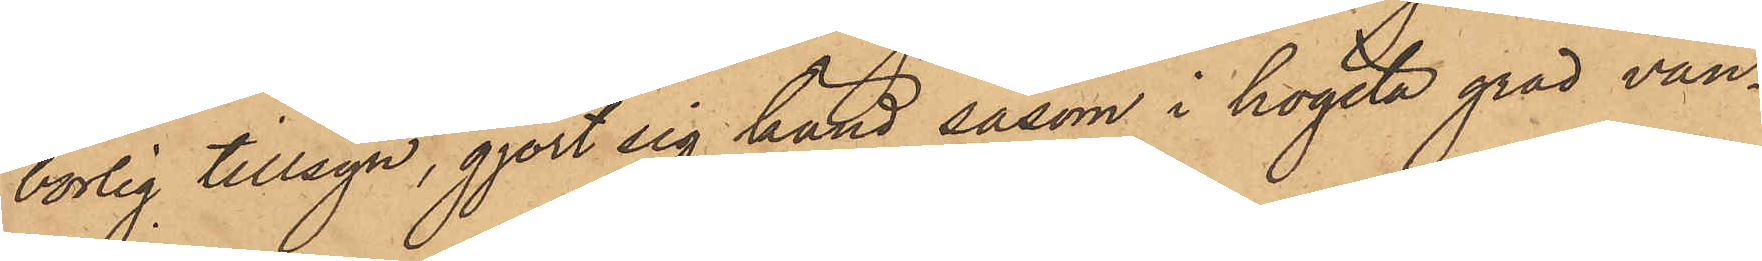borlig tillsyn, gjort sig känd, såsom i högsta gröd van¬
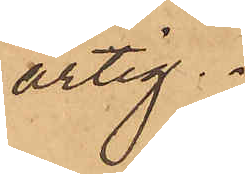artig.
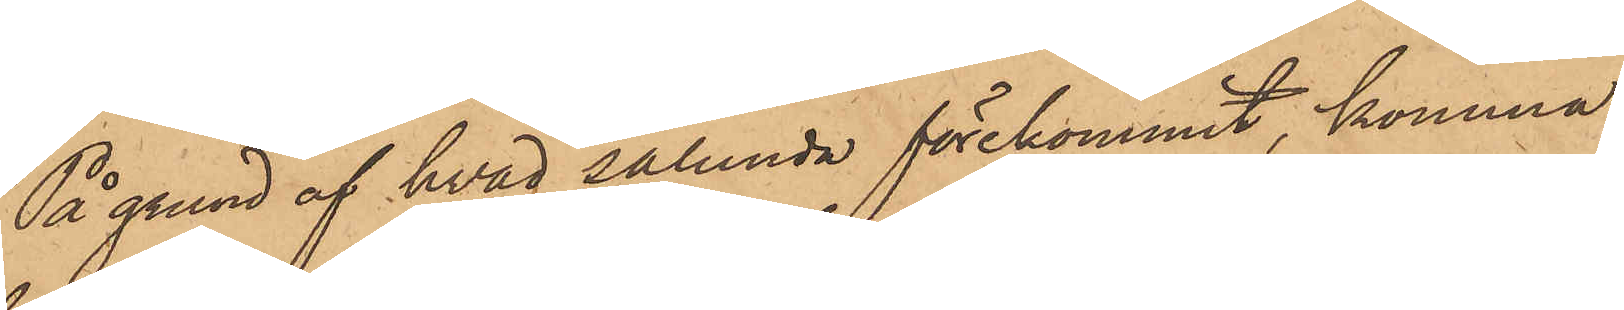På grund af hvad sålunda förekommit, komma
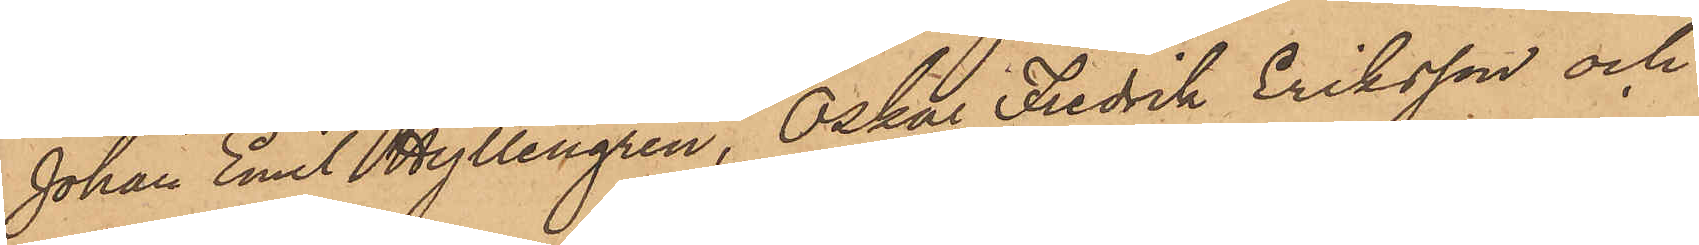Johan Emil Hyllengren, Oskar Fredrik Eriksson och
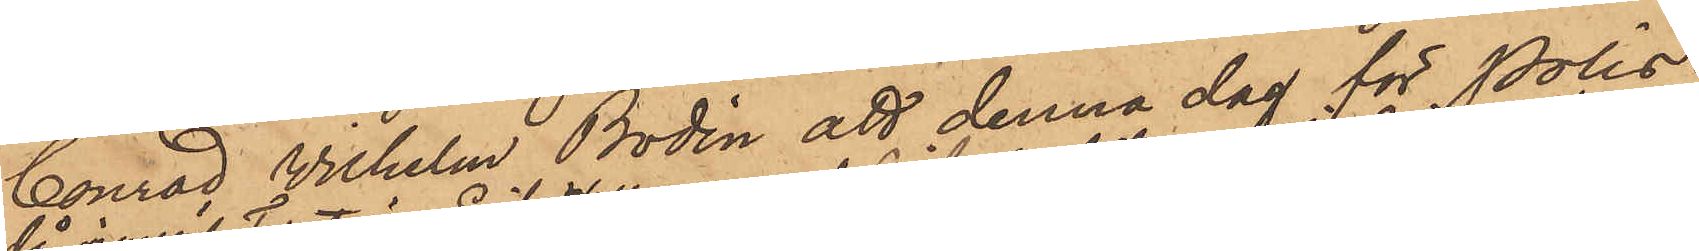Conrad Wilhelm Bodin att denna dag för Polis¬
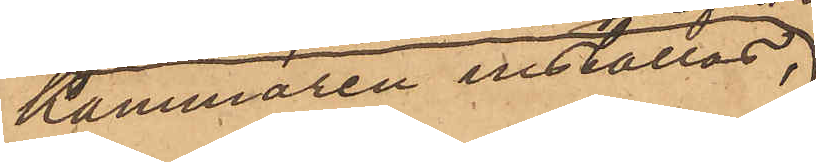Kammaren inställas.
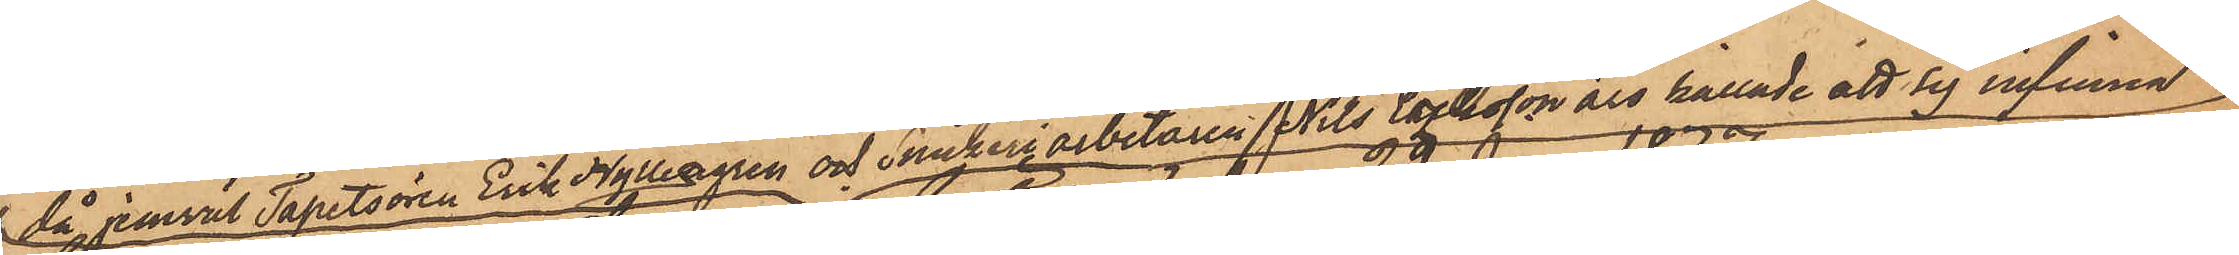då jemväl Tapetsören Erik Hylliagren och Snickeriarbetaren Nils Eriksson äro kallade att sig infinna
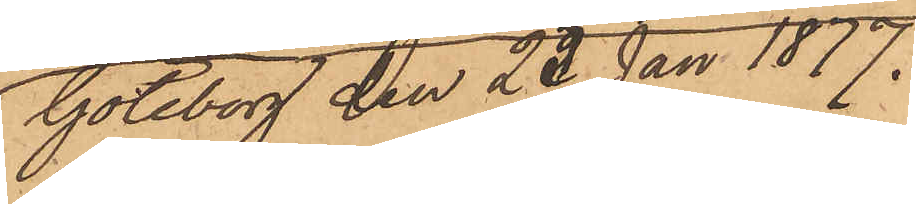Göteborg den 23 Jan 1877.
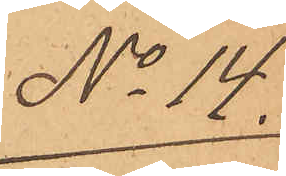No 14.
